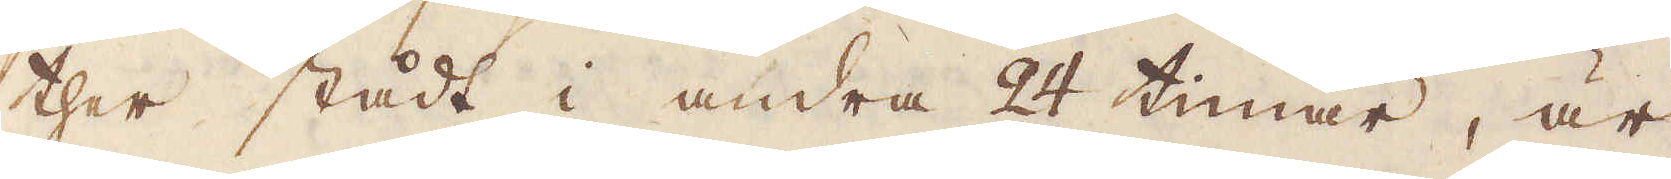ther stådt i andra 24 timar, är
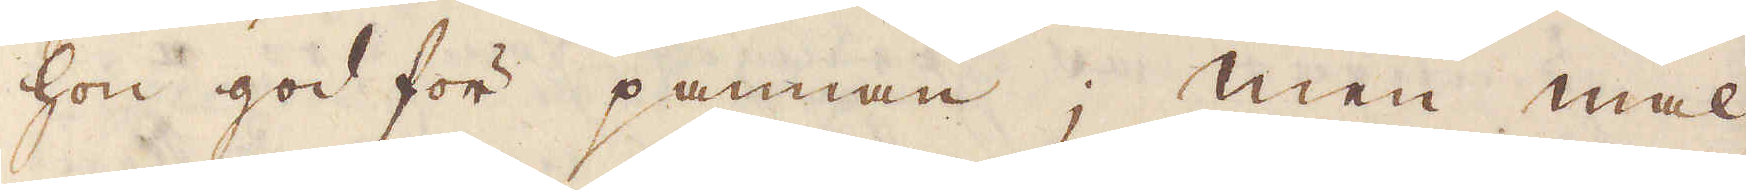hon god för pannan; Men mal-
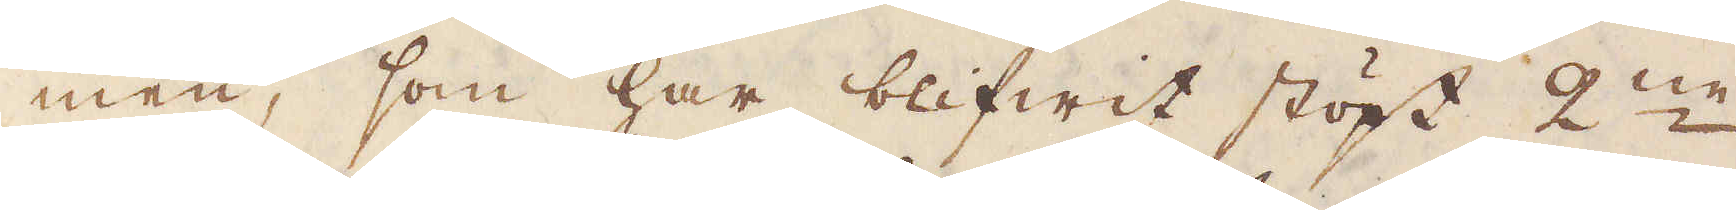men, som har blifwit stöpt 2:ne
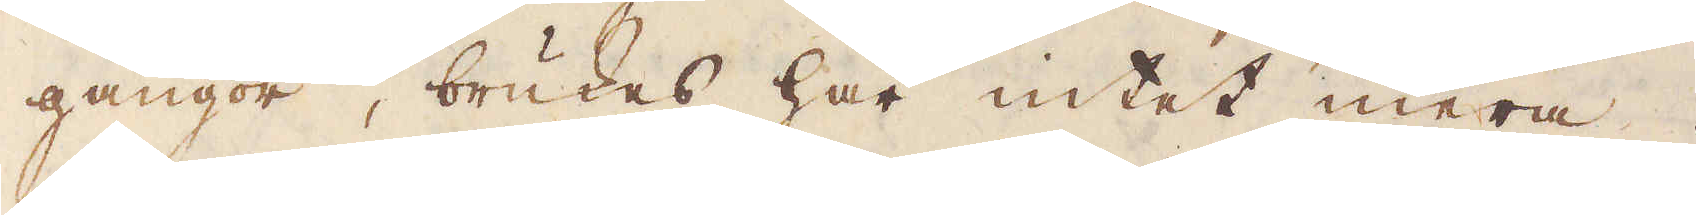gångor, brukes har intet mera.
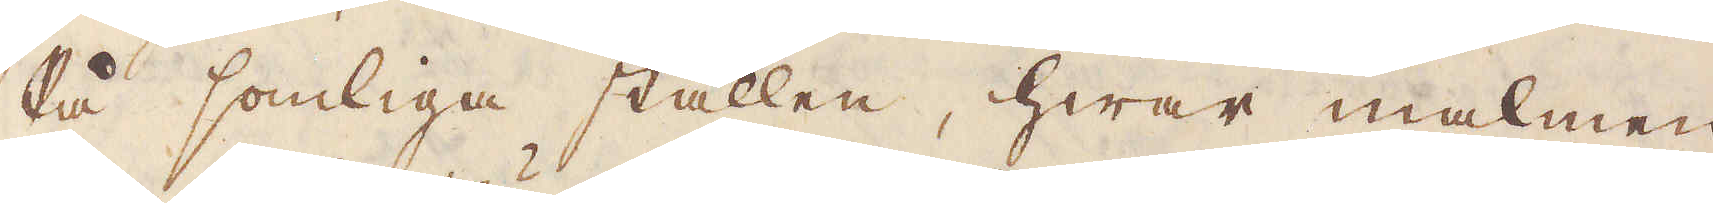På somliga ställen, hwar malmen
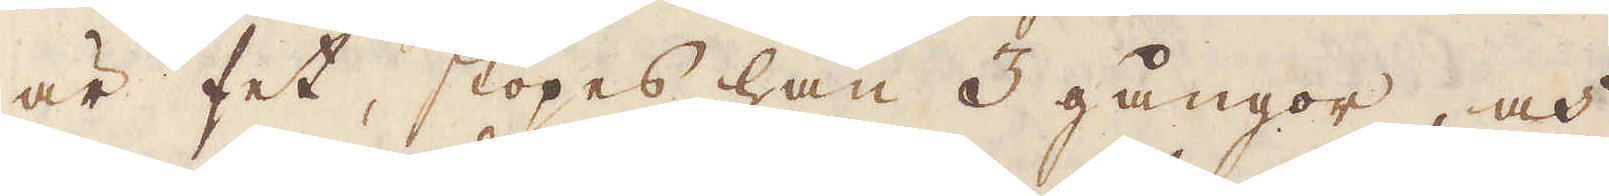är fet, stöpes han 3 gångor, och
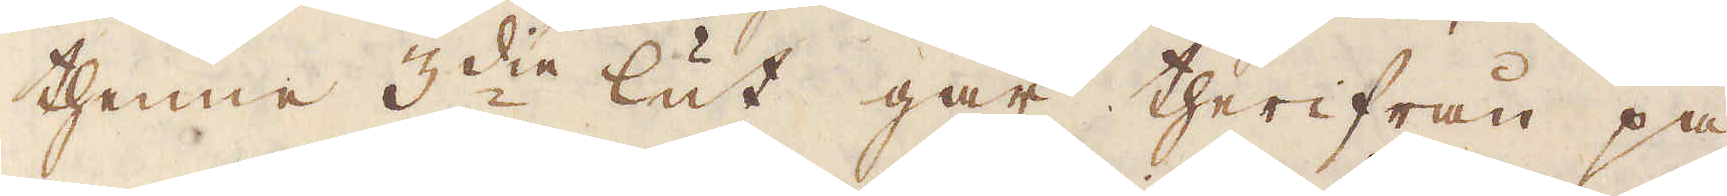thenne 3:die lut går therifrån på
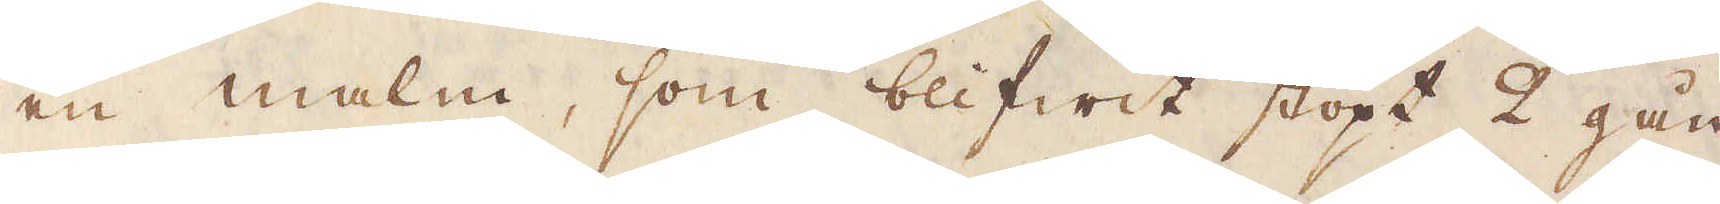en malm, som blifwit stöpt 2 gån-
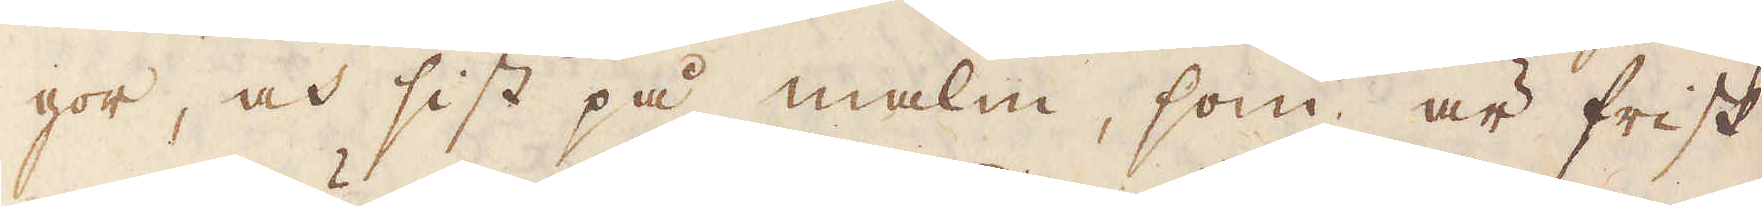gor, och sist på malm, som är frisk
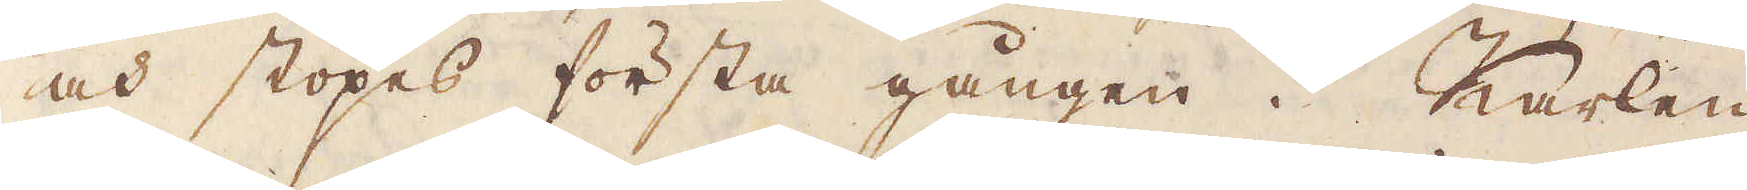och stöpes första gången. Karlen
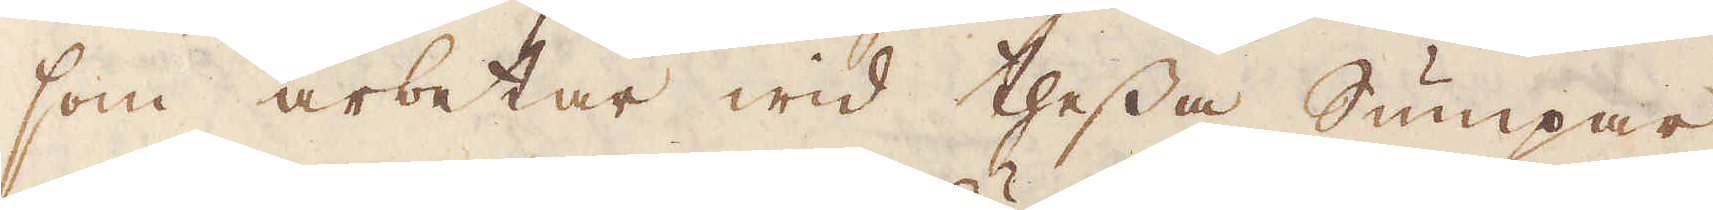som arbetar wid thessa Sumpar,
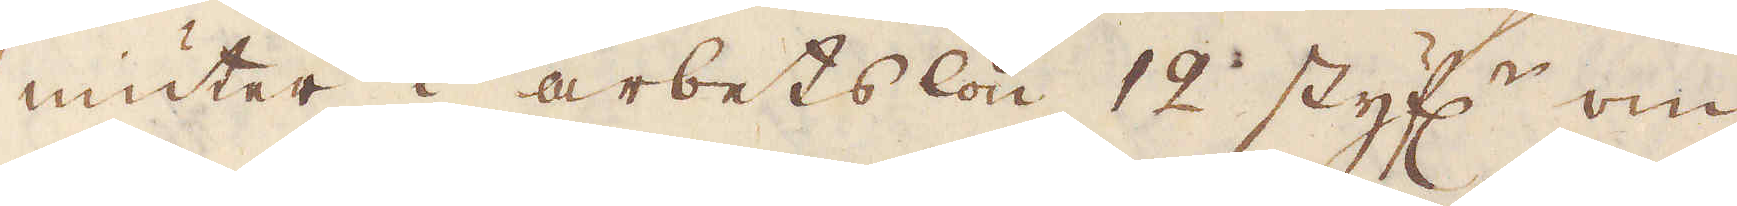niuter i arbetslön 12 styf:r om
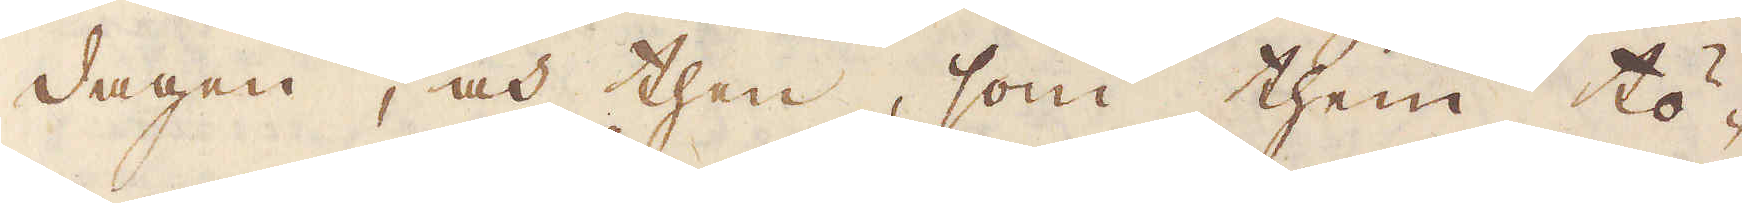dagen, och then, som them tö-
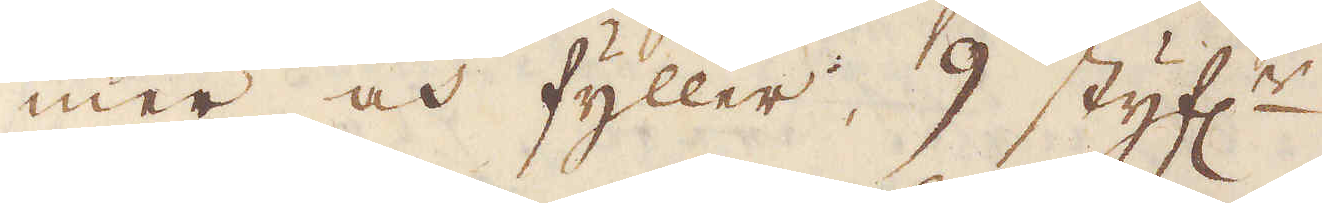mer och fyller, 9 styf:r.
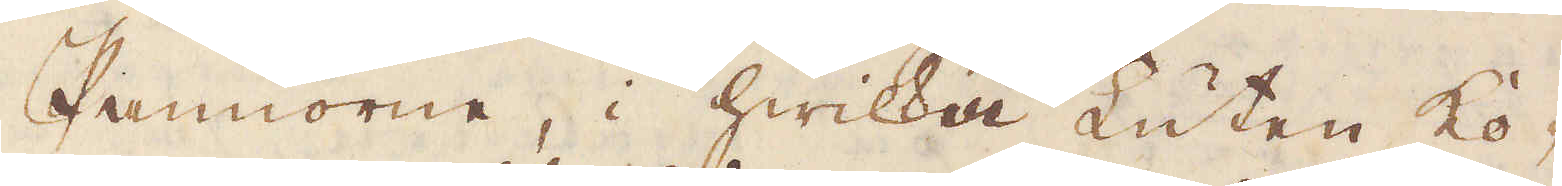Pannorne, i hwilka Luten ko-
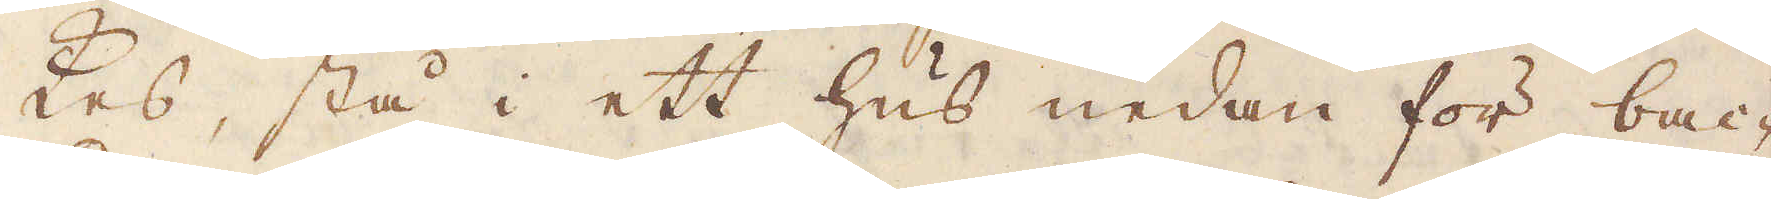kas, stå i ett hus nedan för bac-
